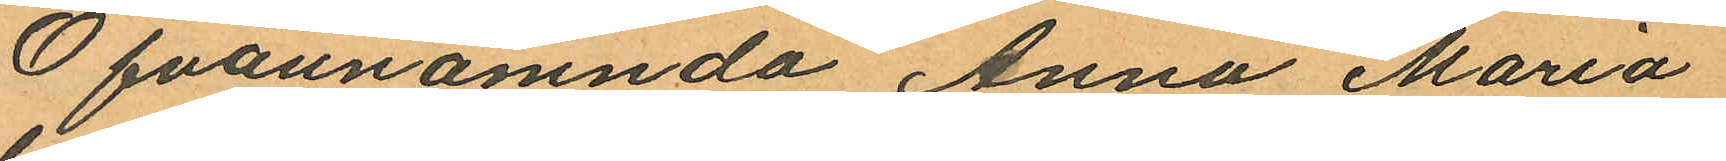Ofvannämnda Anna Maria
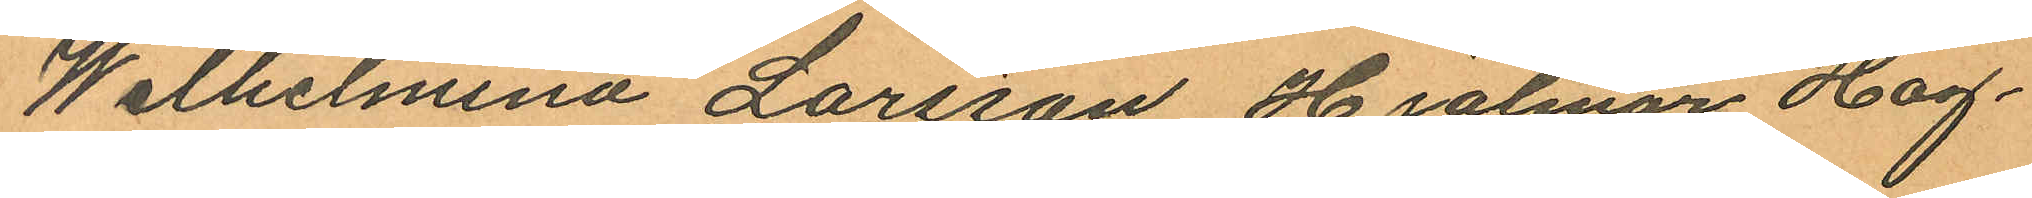Wilhelmina Larsson Hjalmar Hag¬
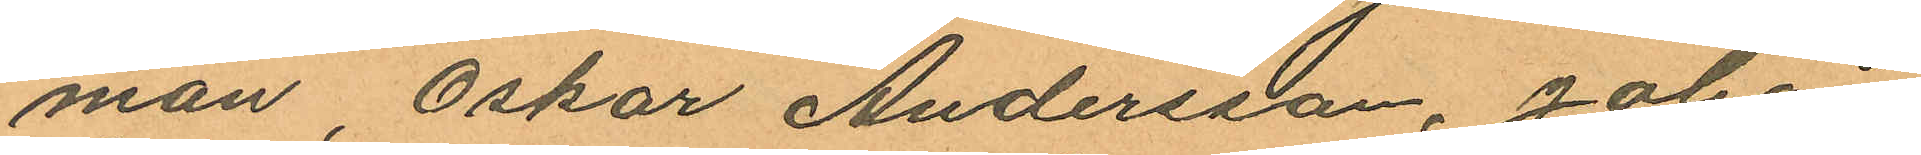man, Oskar Andersson, Johan
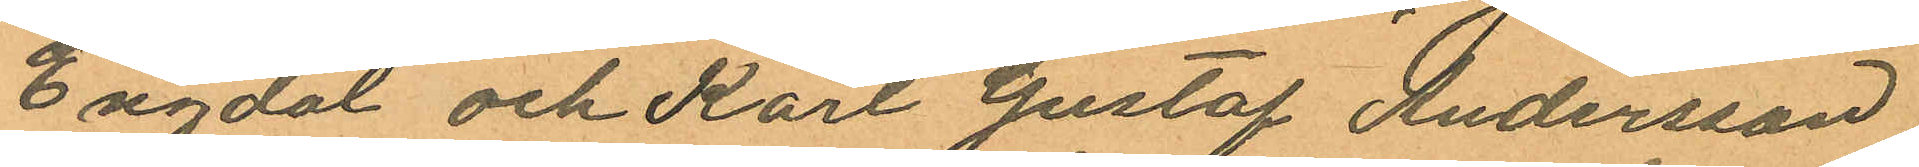Engdal och Karl Gustaf Andersson
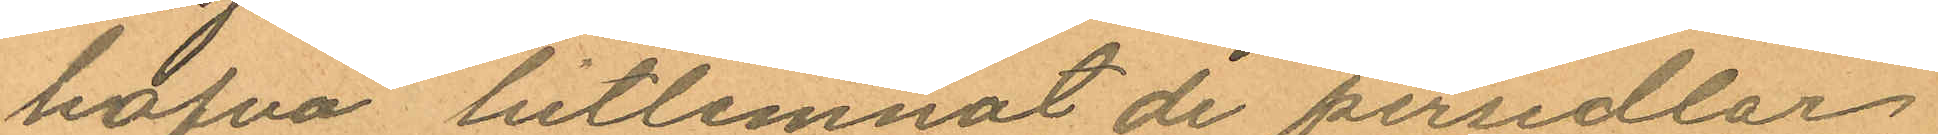hafva hitlemnat de persedlar
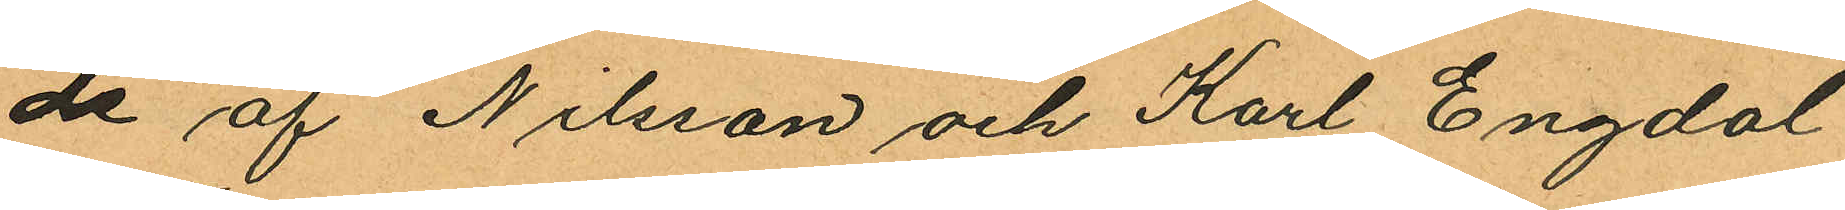de af Nilsson och Karl Engdal
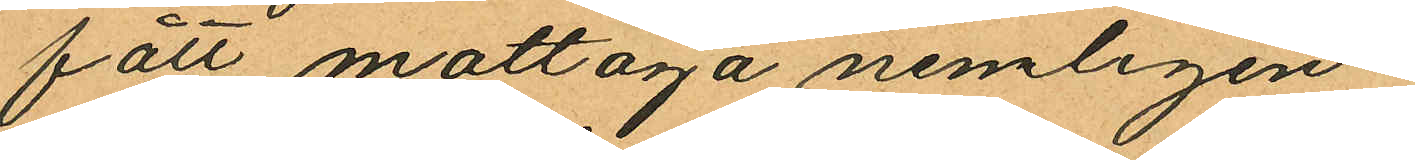fått mottaga nemligen:
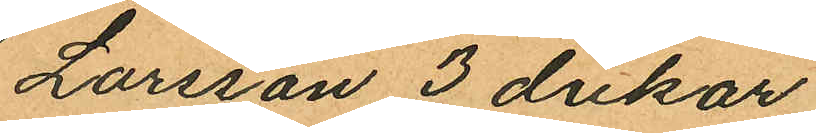Larsson 3 dukar,
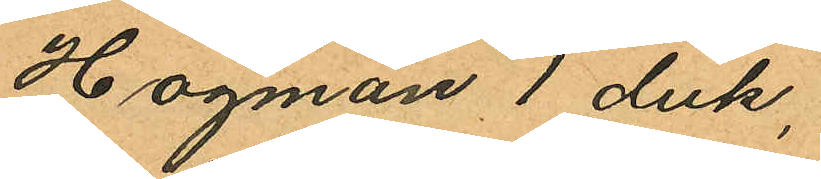Hagman 1 duk,
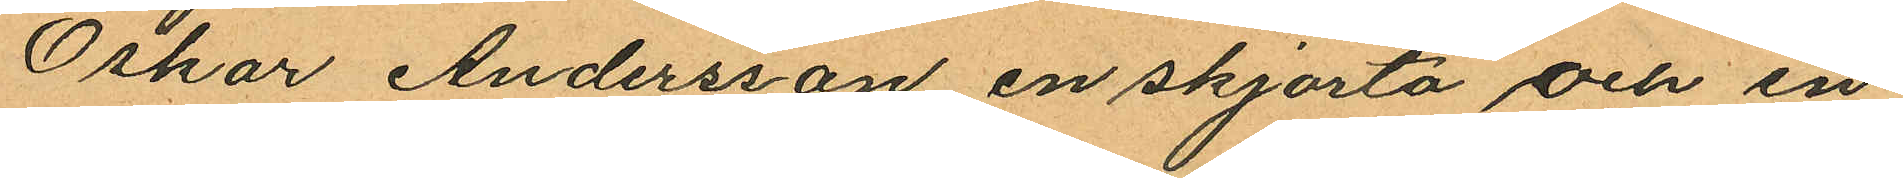Oskar Andersson en skjorta och en
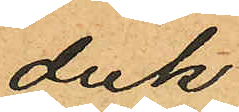duk
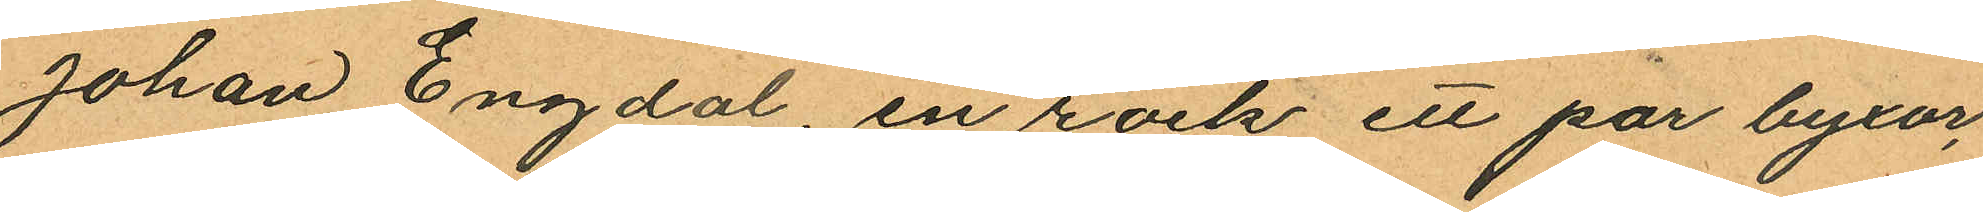Johan Engdal, en rock ett par byxor,
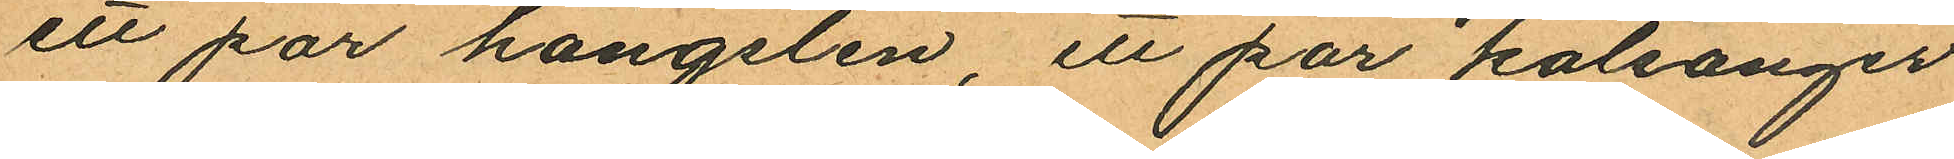ett par hängslen, ett par kalsonger
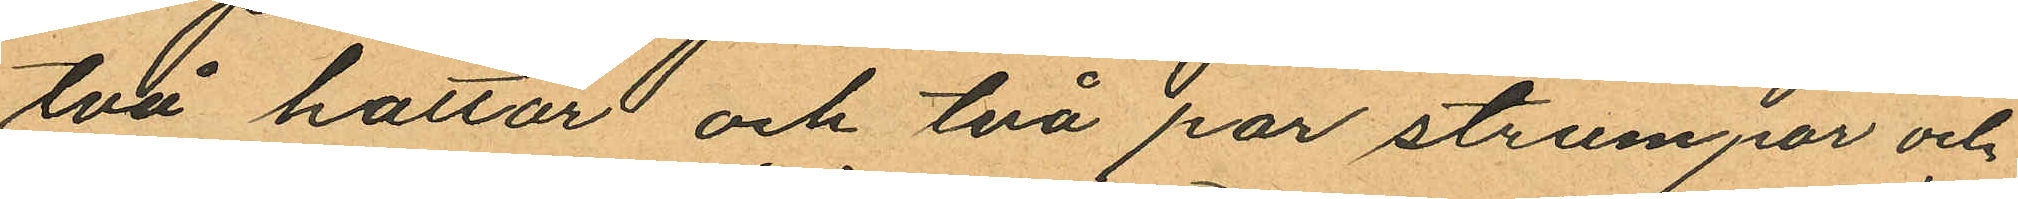två hattar och två par strumpor och
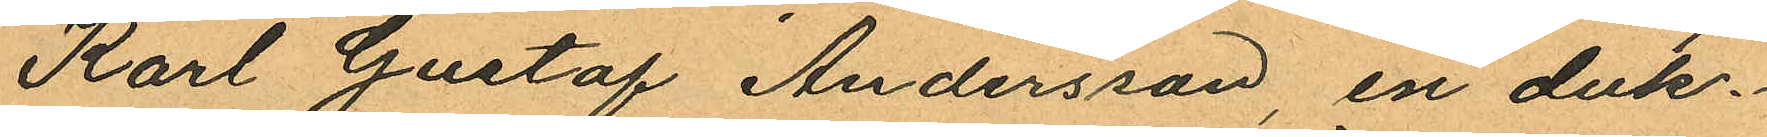Karl Gustaf Andersson, en duk.
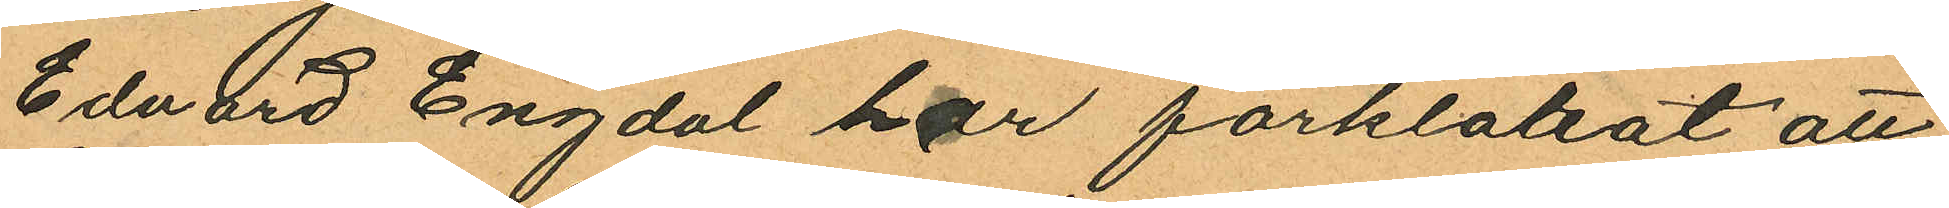Edvard Engdal har förklarat att
